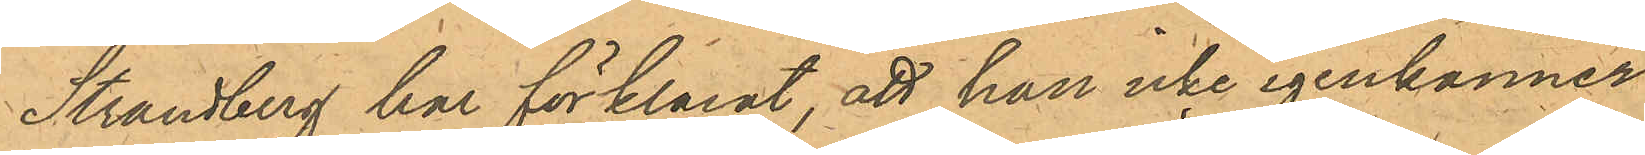Strandberg har förklarat, att han icke igenkänner
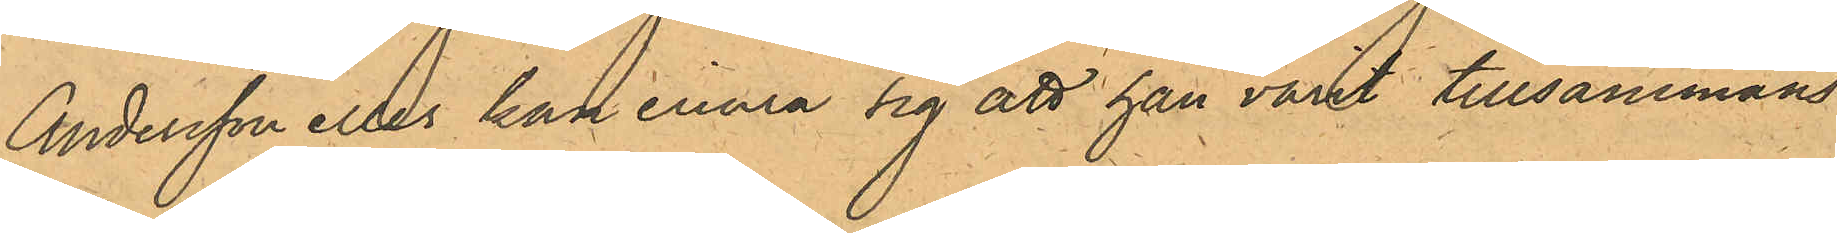Andersson eller kan erinra sig att han varit tillsammans
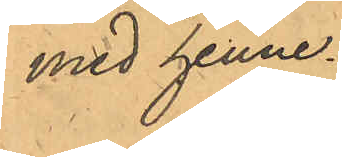med henne.
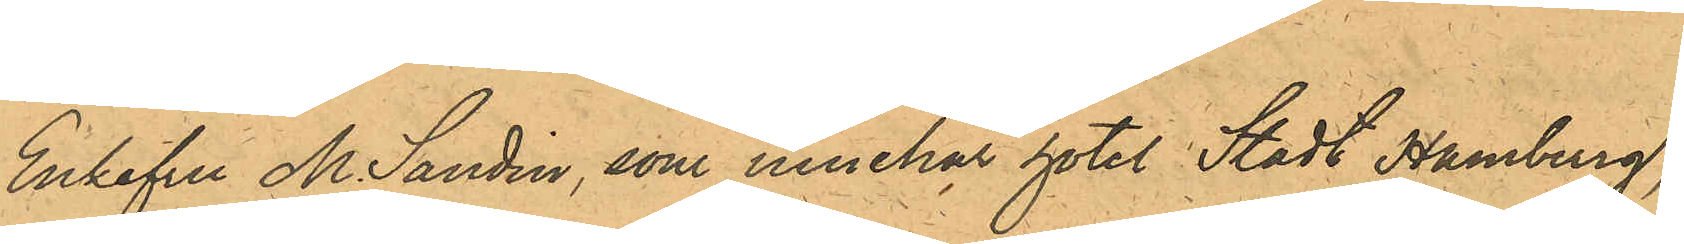Enkefru M. Sandin, som innehar hotel Stadt Hamburg
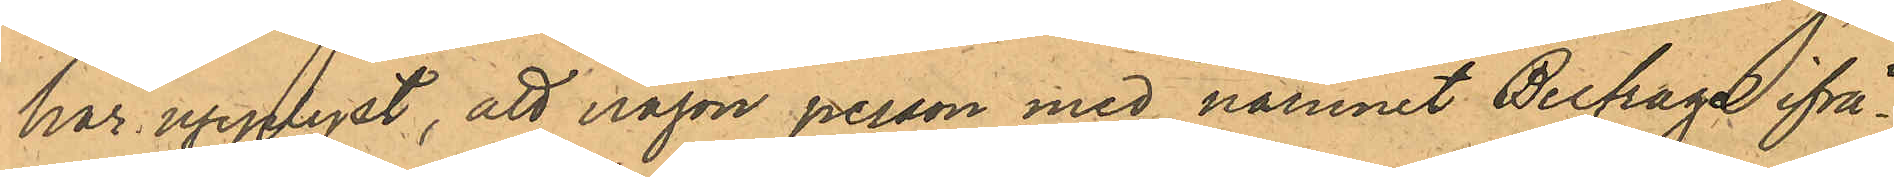har upplyst, att någon person med namnet Belfrage ifrå¬
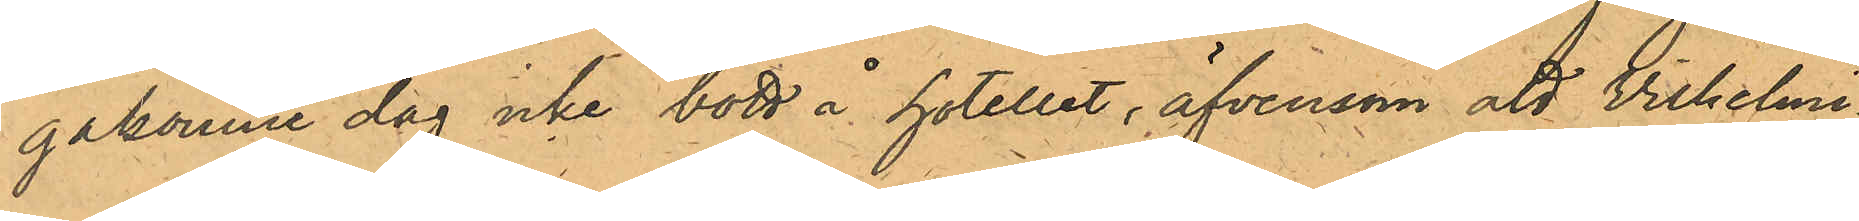gakomne dag icke bott å hotellet, äfvensom att Vilhelmi¬
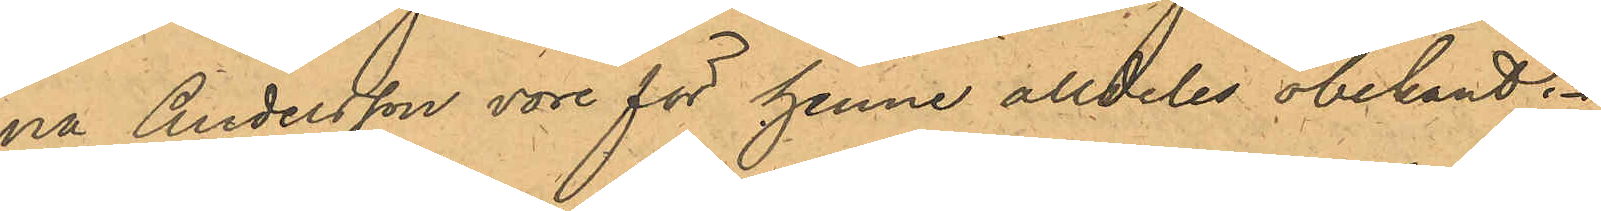na Andersson vore för henne alldeles obekant.
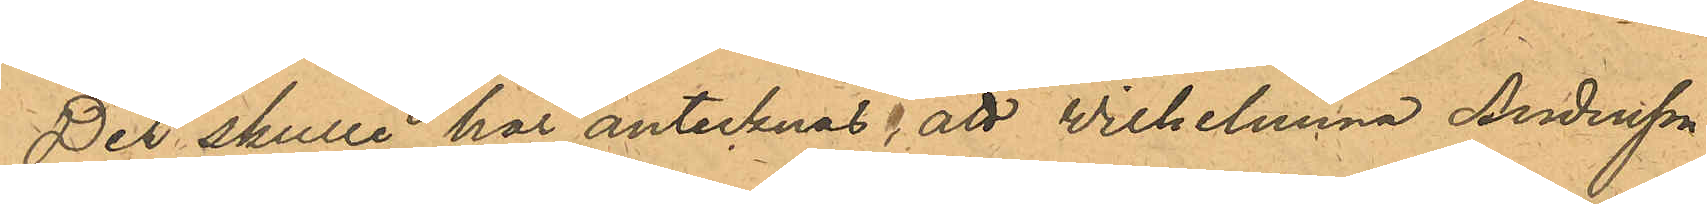Det skulle här antecknas, att Wilhelmina Andersson
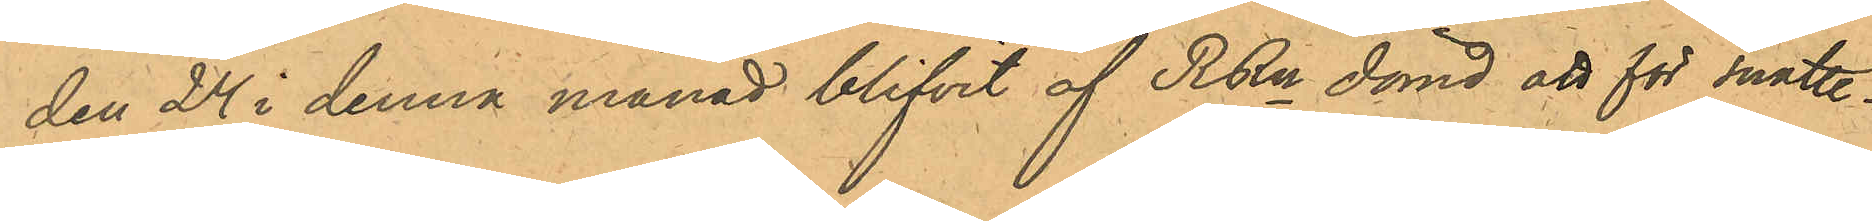den 24 i denna månad blifvit af RRn dömd att för snatte¬
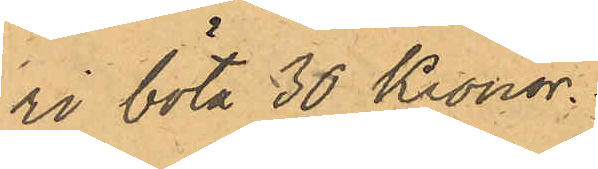ri böta 30 Kronor.
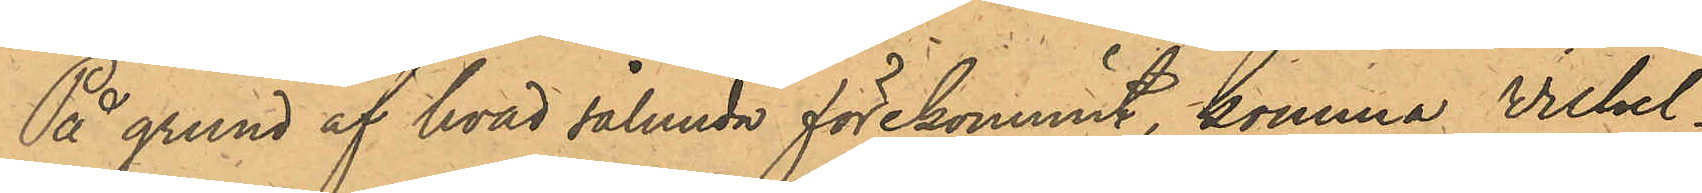På grund af hvad sålunda förekommit, komma Vilhel¬
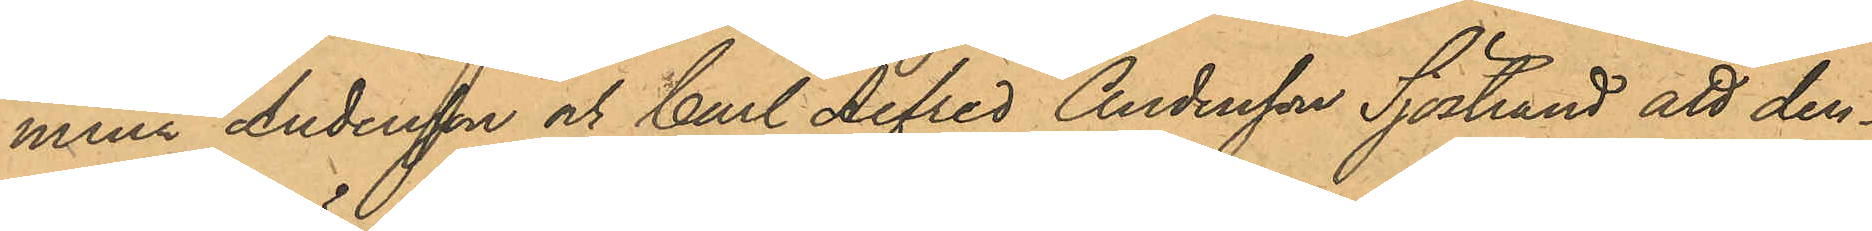mina Andersson och Carl Alfred Andersson Sjöstrand att den¬
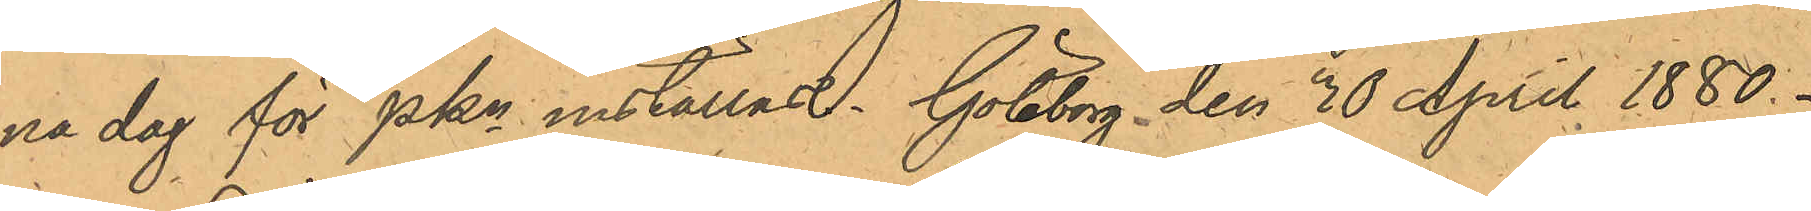na dag för PKn inställas. Göteborg den 30 April 1880.
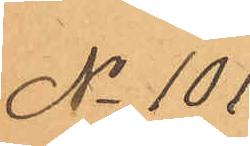No 101.
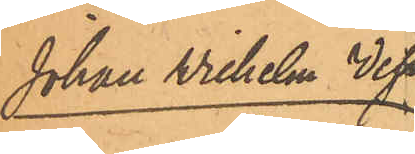Johan Wilhelm West¬
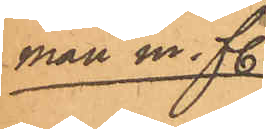man m. fl.
